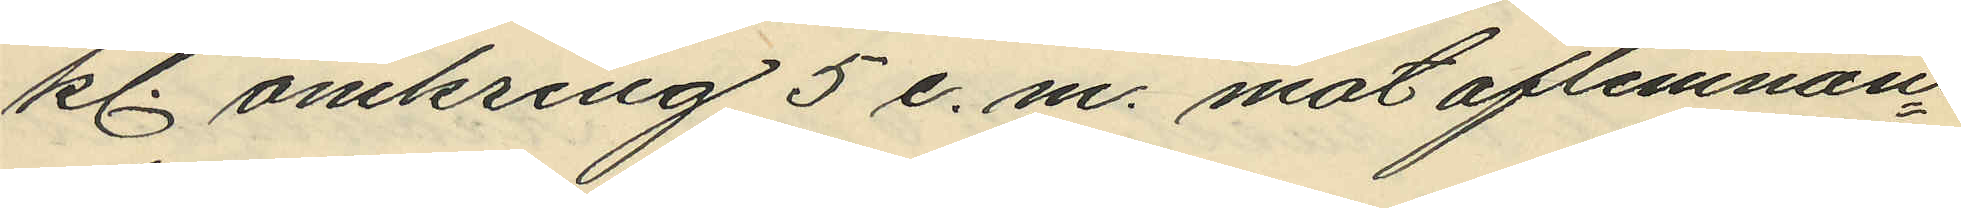kl. omkring 5 e. m. mot aflemnan¬
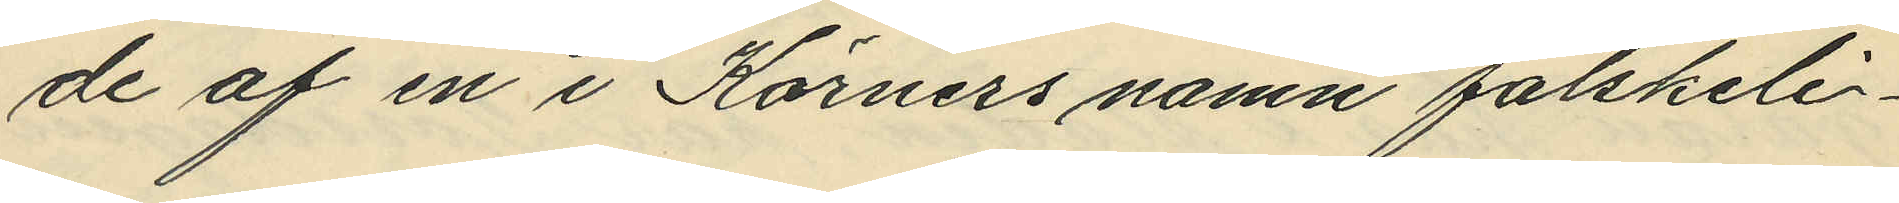de af en i Körners namn falskeli¬
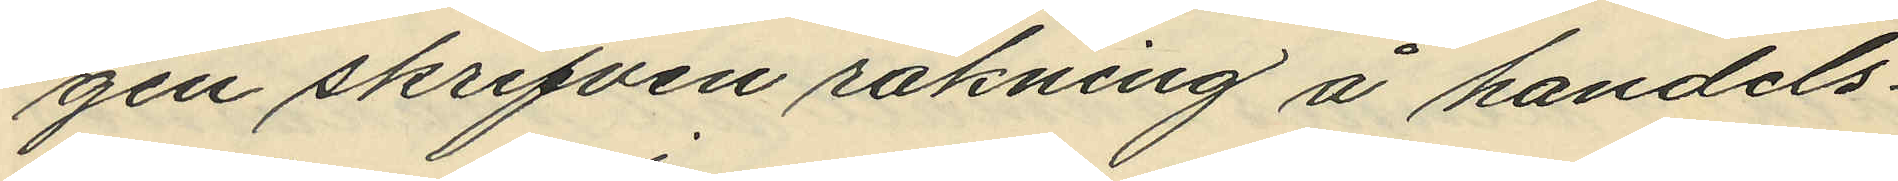gen skrifven räkning å handels¬
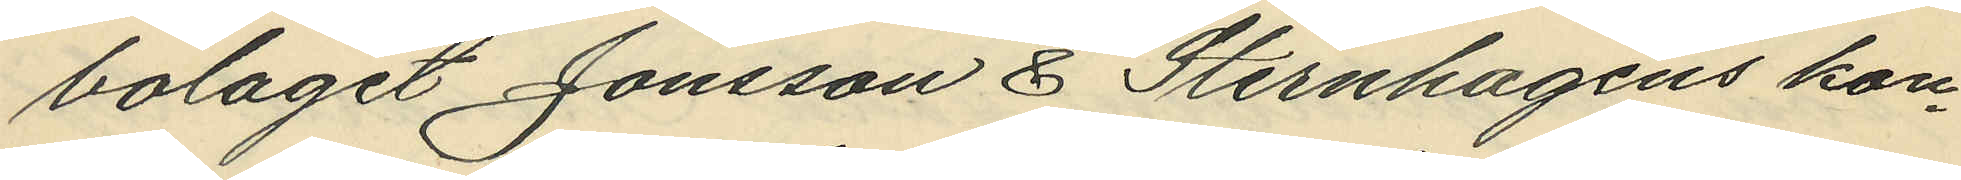bolaget Jonsson & Sternhagens kon¬
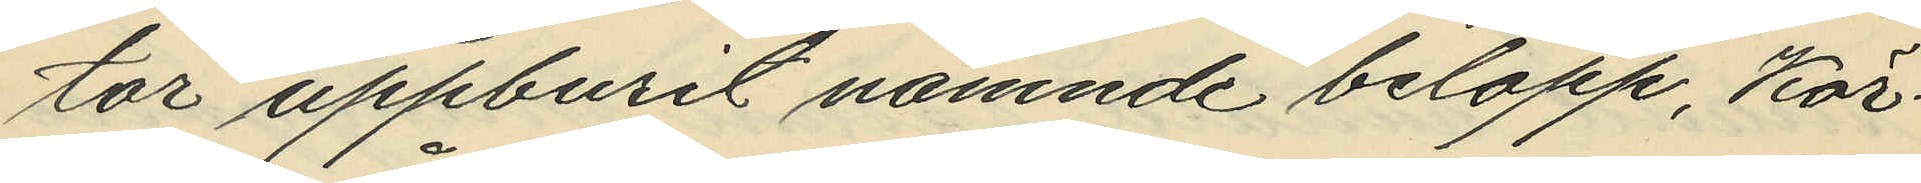tor uppburit nämnde belopp, Kör¬
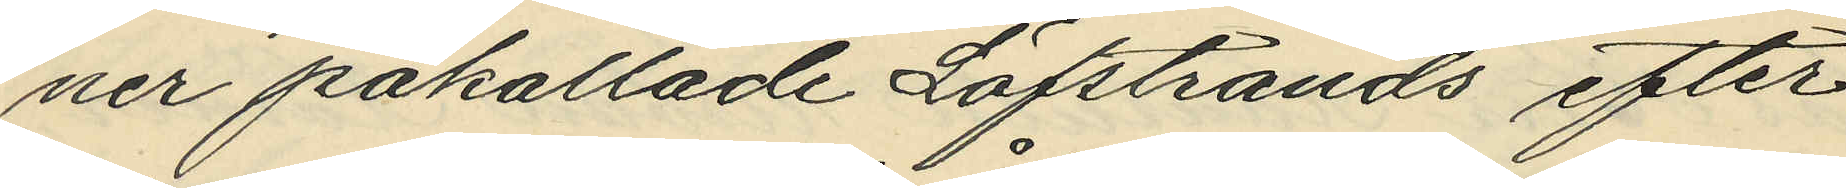ner påkallade Löfstrands efter¬
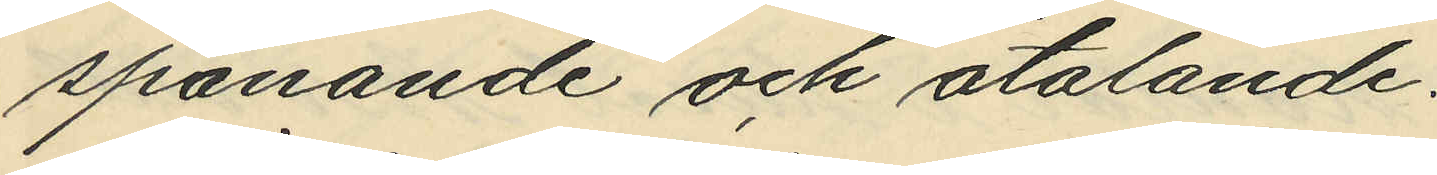spanande och åtalande.
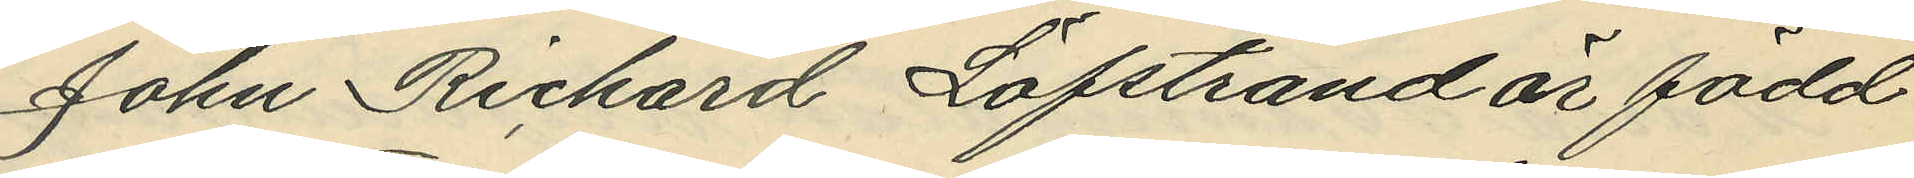John Richard Löfstrand är född
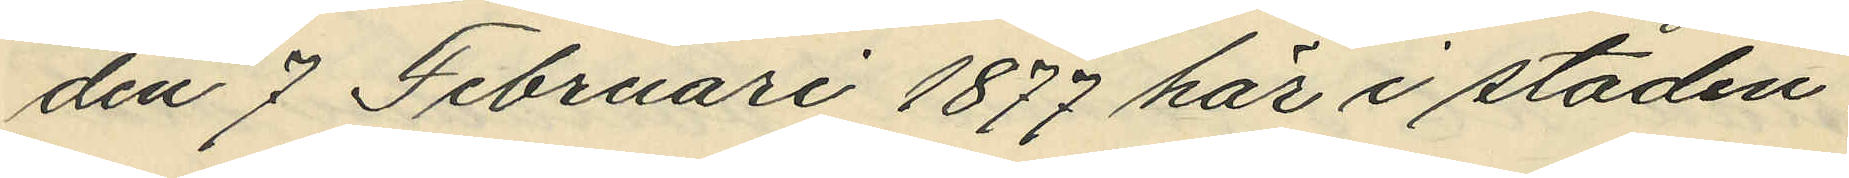den 7 Februari 1877 här i staden,
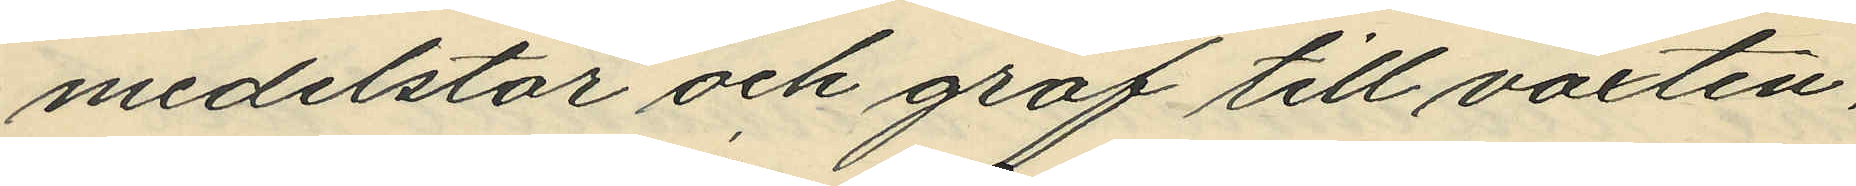medelstor och grof till växten,
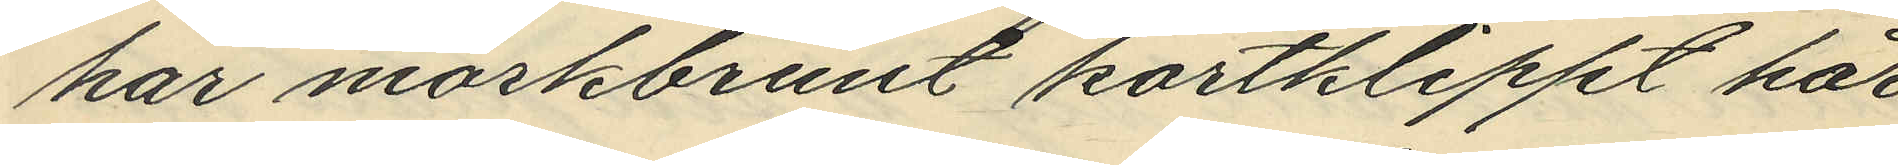har mörkbrunt kortklippt hår
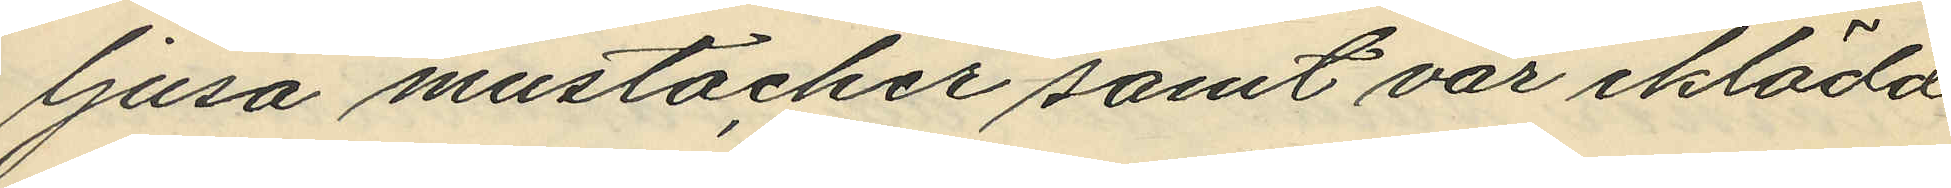ljusa mustacher samt var iklädd
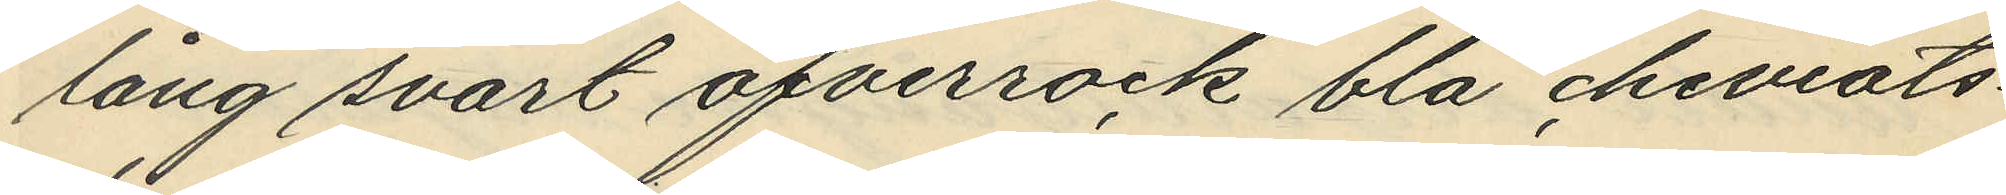lång svart öfverrock blå cheviots¬
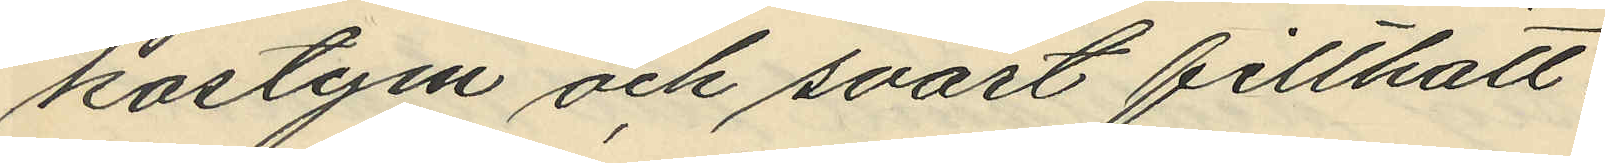kostym och svart filthatt.
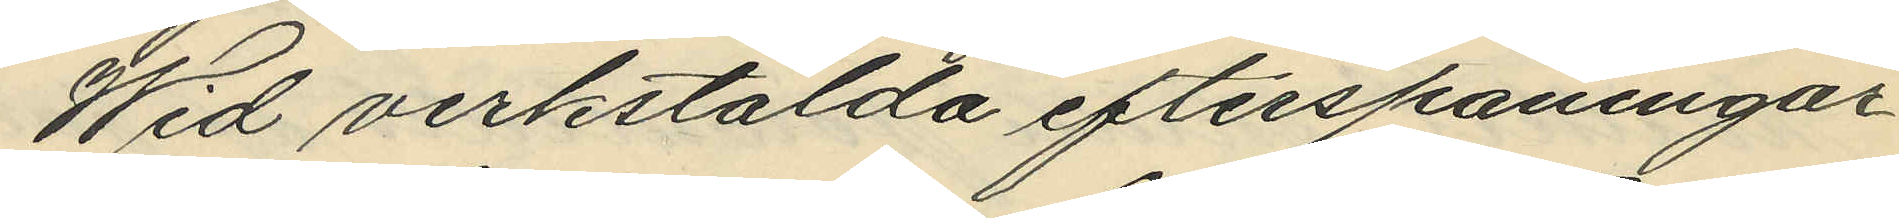Wid verkstälda efterspaningar
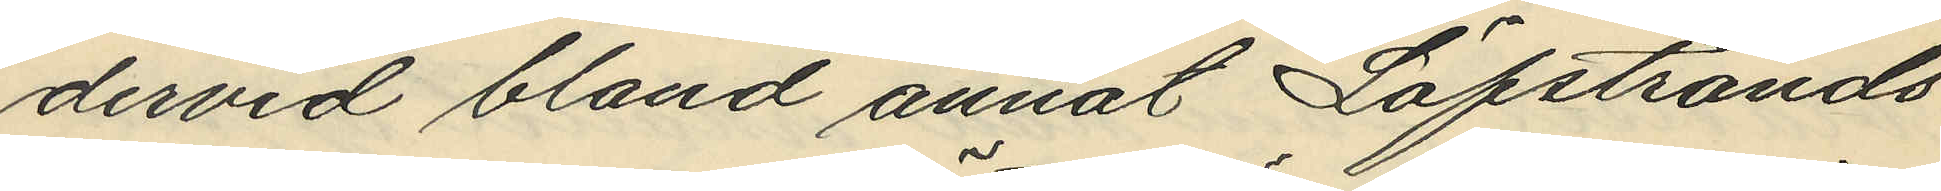dervid bland annat Löfstrands
